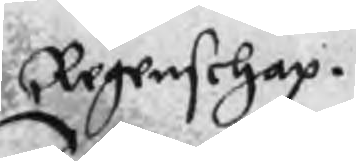Regenschap.
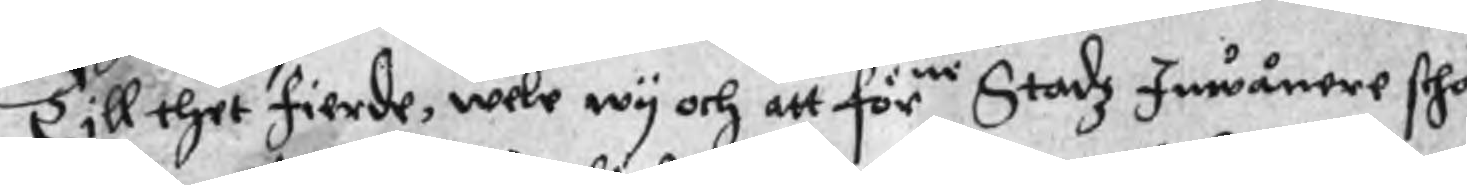Till thet fierde, wele wy och att förne Stadz Inwånere scho¬
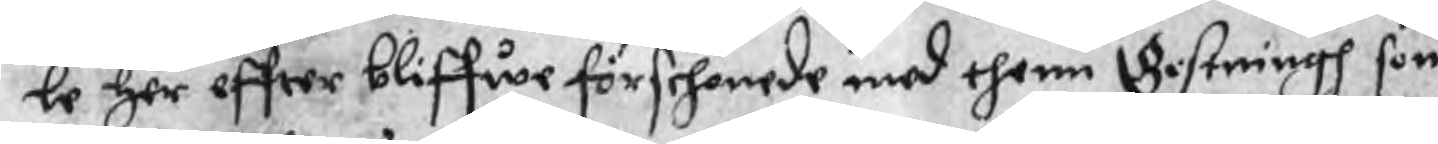le her effter bliffwe förschonede med thenn Gistningh som
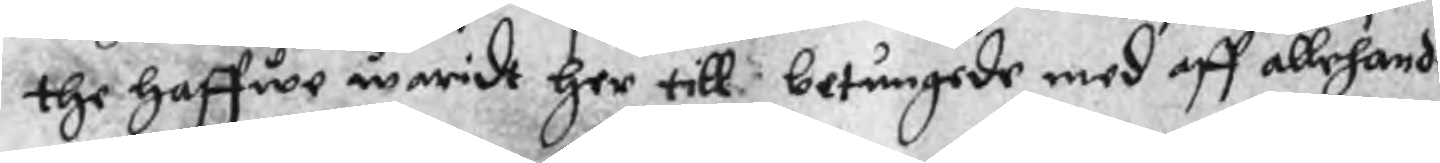the haffwe waridt her till betungede med aff allehande
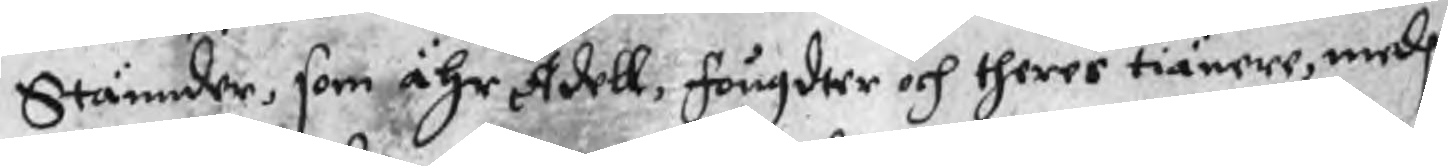Stännder, som ähr Adell, fougdeer och theres tiänere, medh
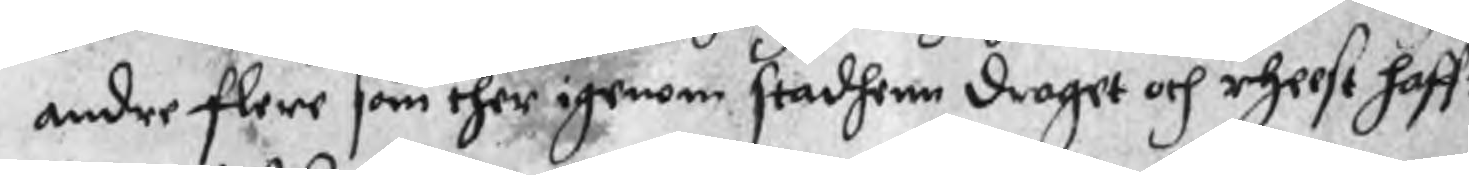andre flere som ther igenom stadhenn draget och rheest haff¬
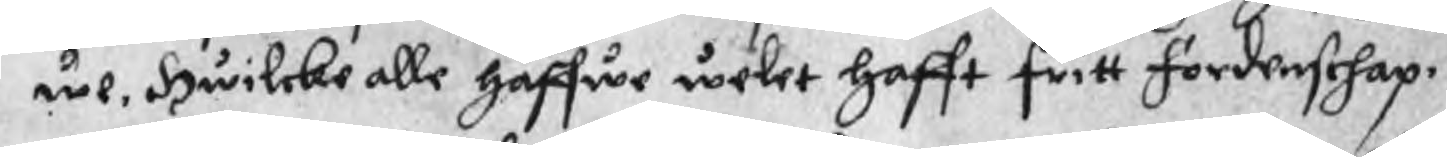we, Hwilcke alle haffwe welet hafft fritt fördenschap.
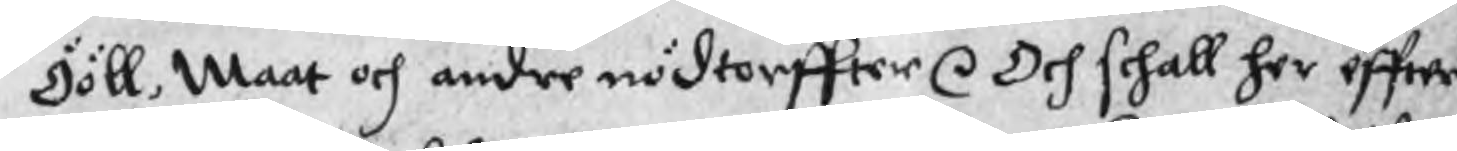Ööll, Maat och andre nödtorffter r Och schall her effter
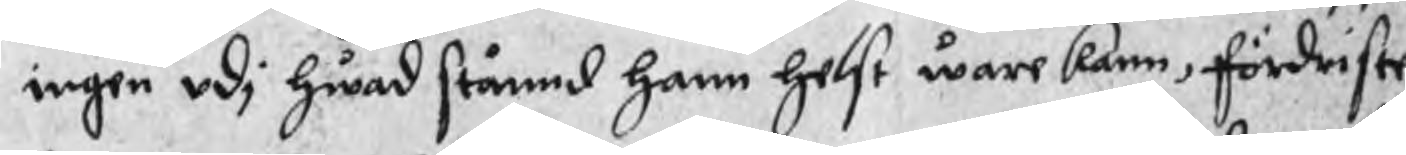ingen udi hwad stånd hann helst ware kann, fördriste
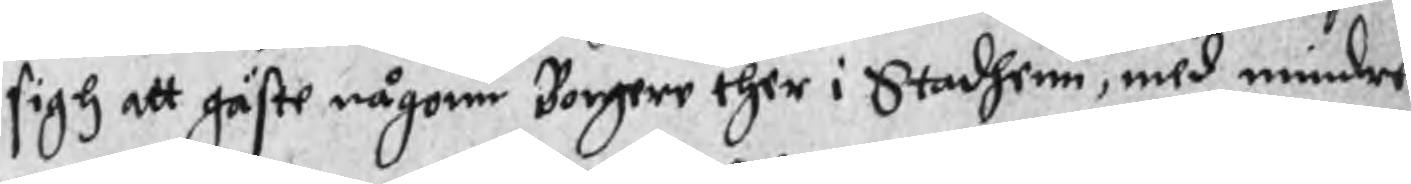sigh att gäste någonn Borgere ther i Stadhenn, med mindre
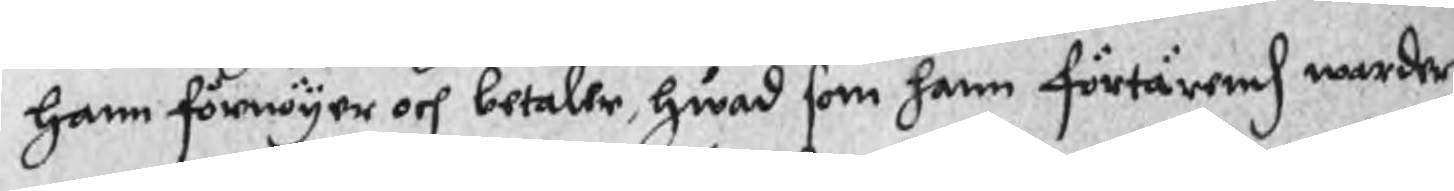hann förnöyer och betaler, hwad som hann förtärend warder
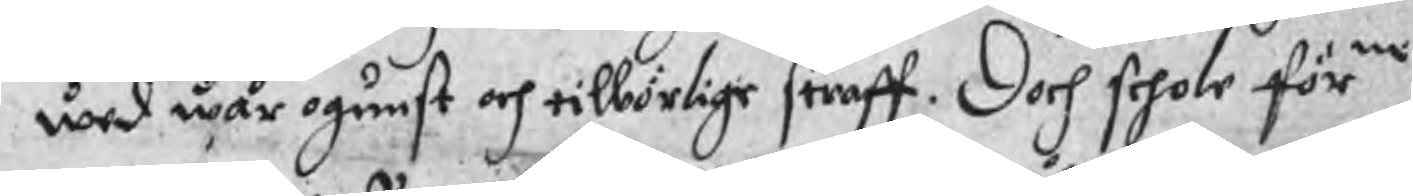wed wår ogunst och tilbörlige straff. Doch schole förne
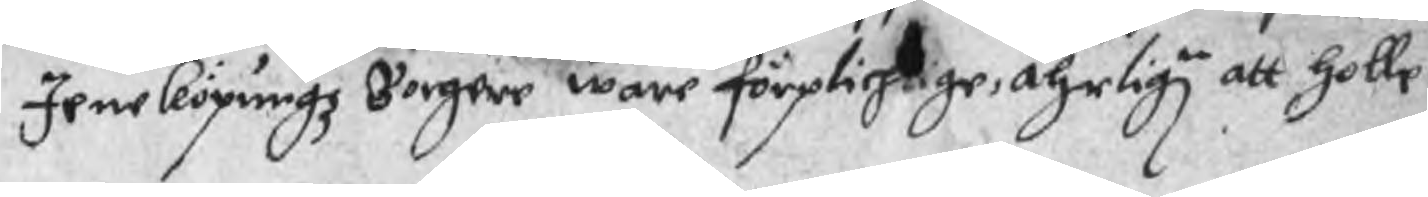Jeneköpungz Borgare ware förplichtige åhrlign att holle
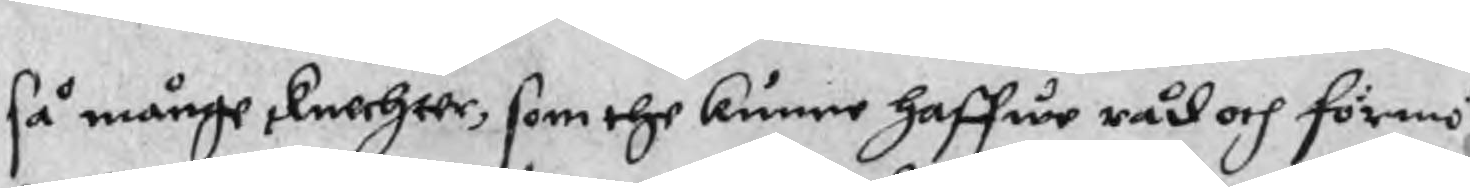så månge knechter, som the kunne haffwe råd och förmö¬
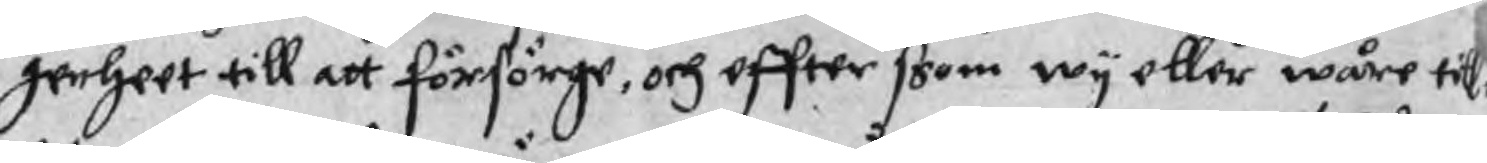genheet till att försörge, och effter ssom wy eller wåre till¬
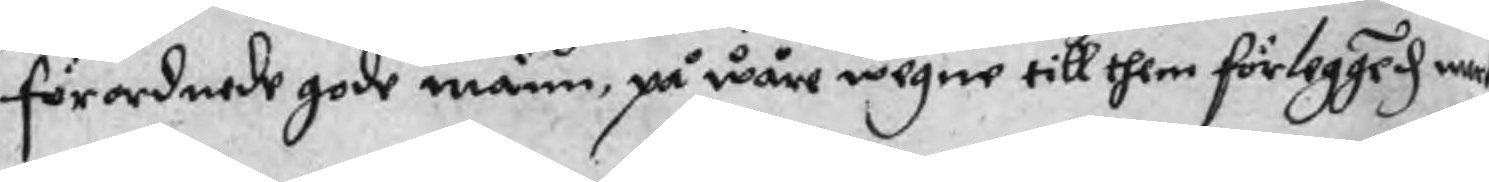förordnade gode männ, på wåre wegne till them förlegged me
